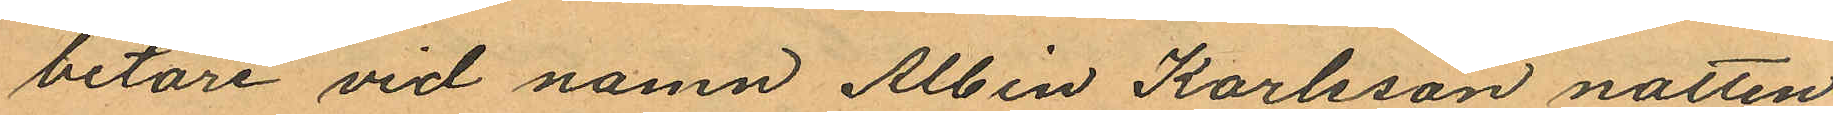betare vid namn Albin Karlsson natten
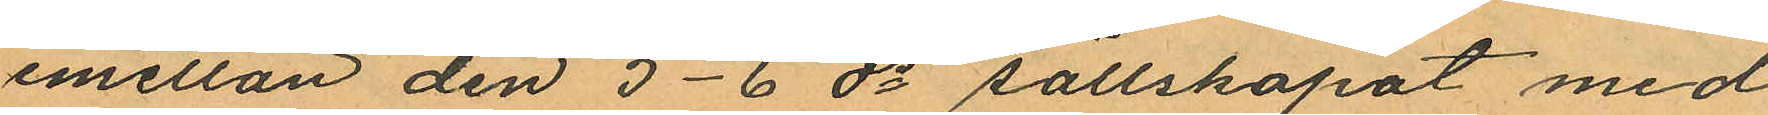emellan den 5-6 ds sällskapat med
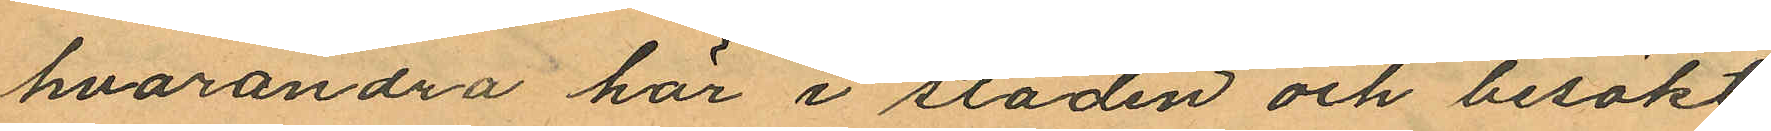hvarandra här i staden och besökt
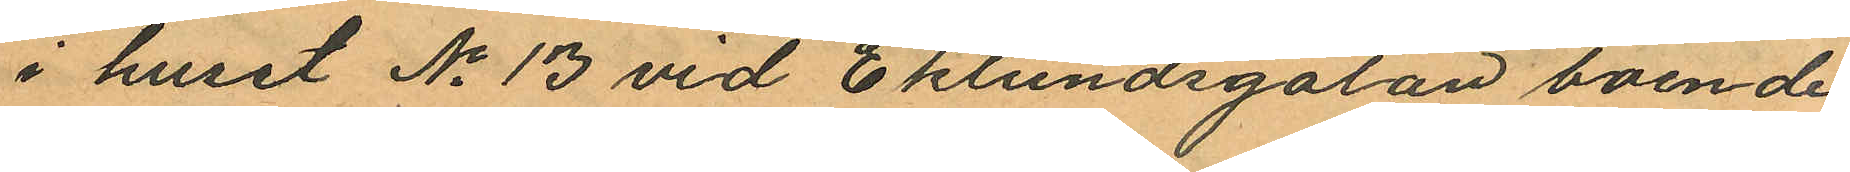i huset No 13 vid Eklundsgatan boende
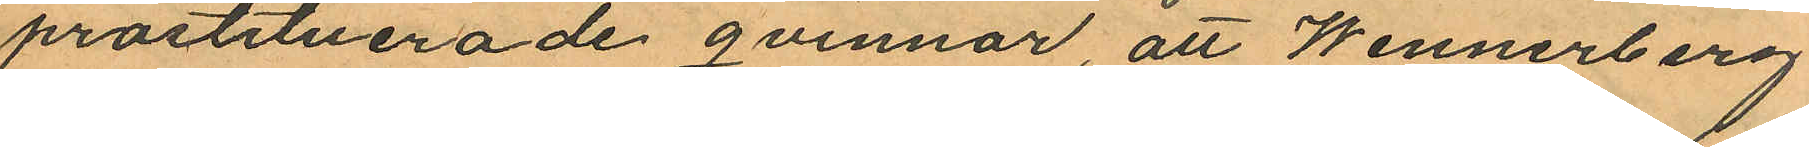prostituerade qvinnor att Wennerberg
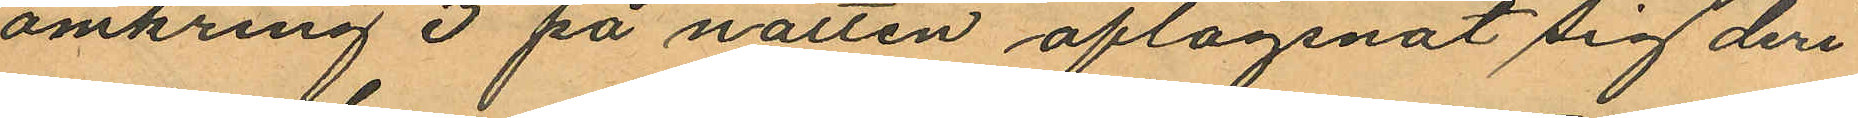omkring 3 på natten aflägsnat sig deri
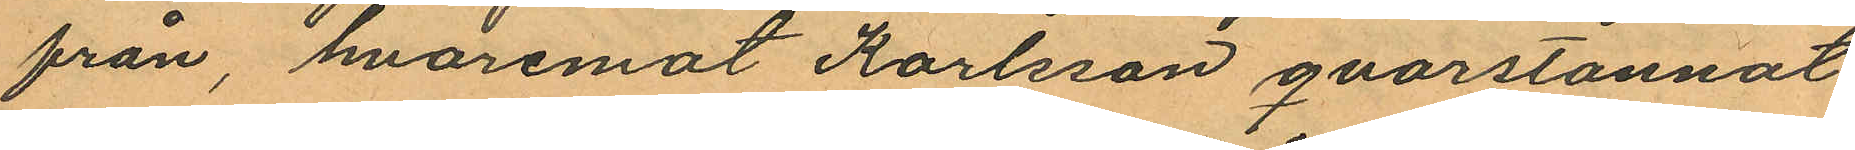från, hvaremot Karlsson qvarstannat
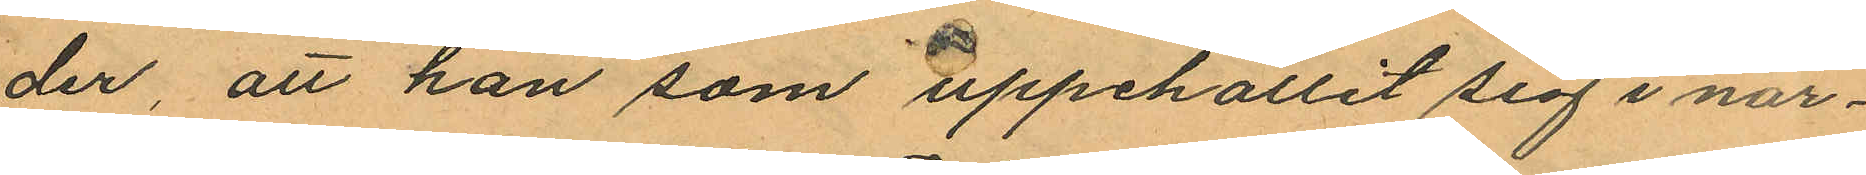der, att han som uppehållit sig i när¬
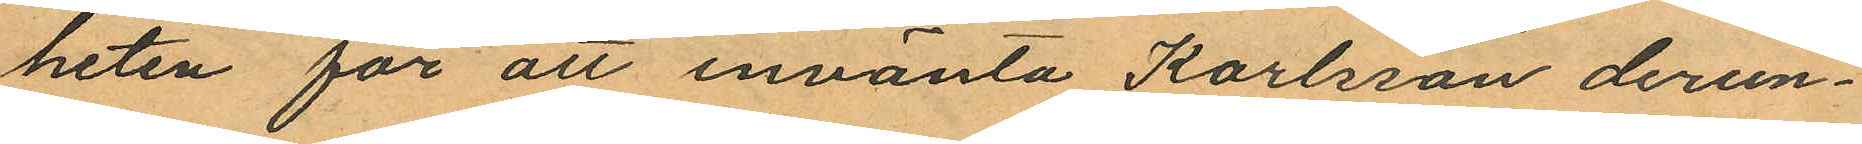heten för att invänta Karlsson derun¬
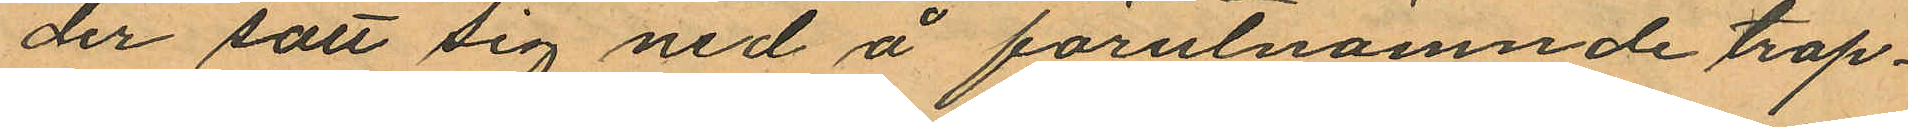der satt sig ned å förutnämnde trap¬
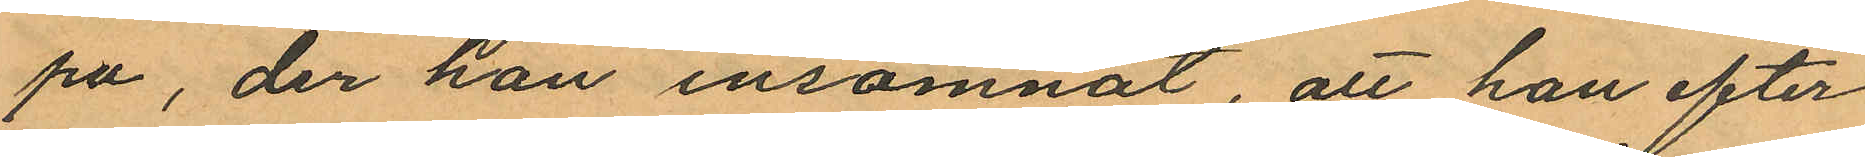pa, der han insomnat, att han efter
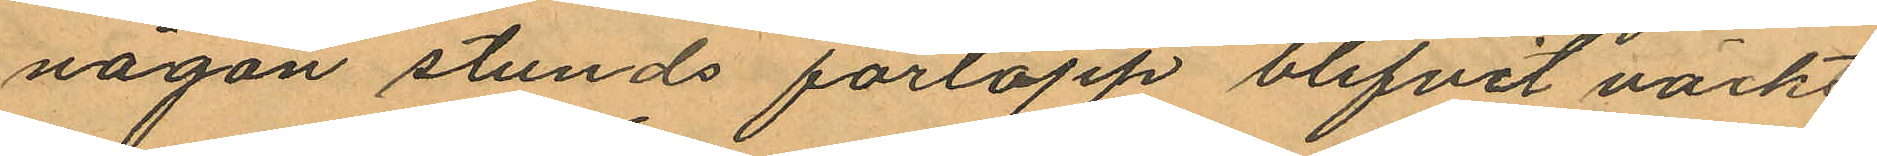någon stunds förlopp blifvit väckt
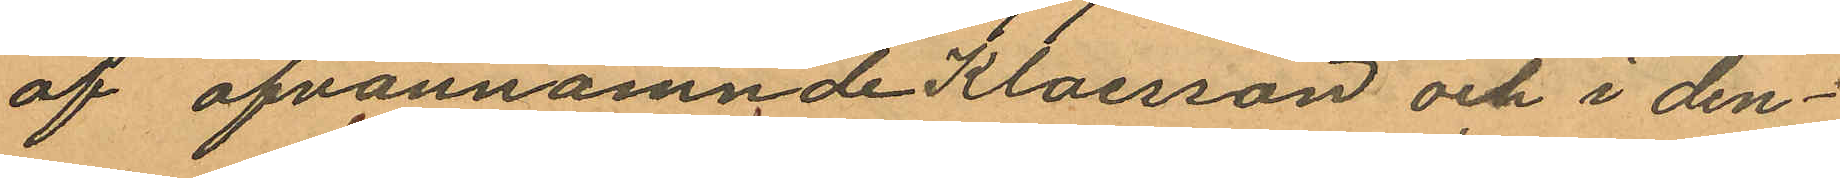af ofvannämnde Klaesson och i den¬
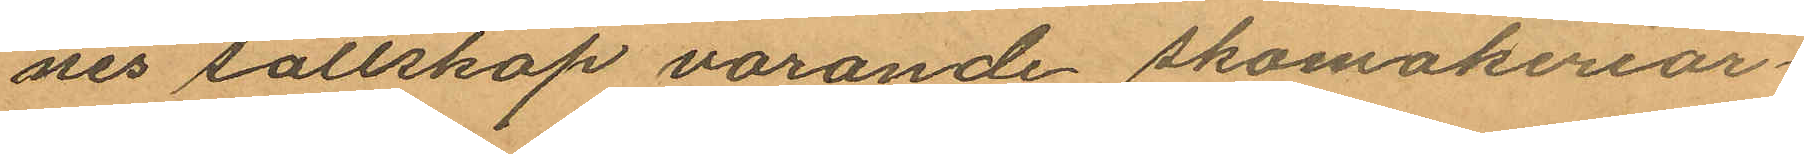nes sällskap varande skomakeriar¬
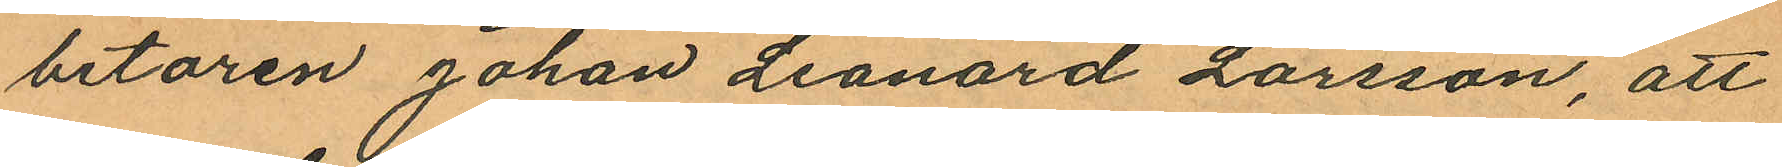betaren Johan Leonard Larsson, att
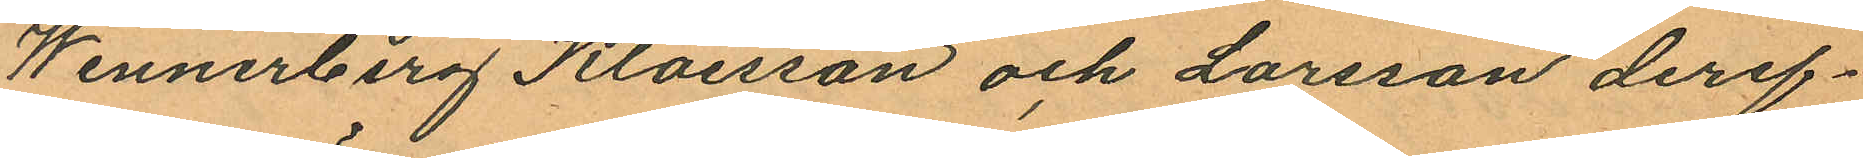Wennerberg Klaesson och Larsson deref¬
